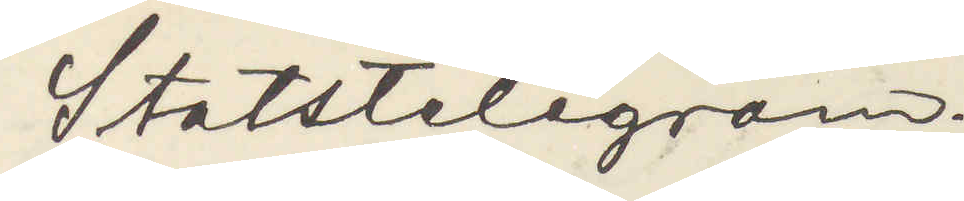Statstelegram.
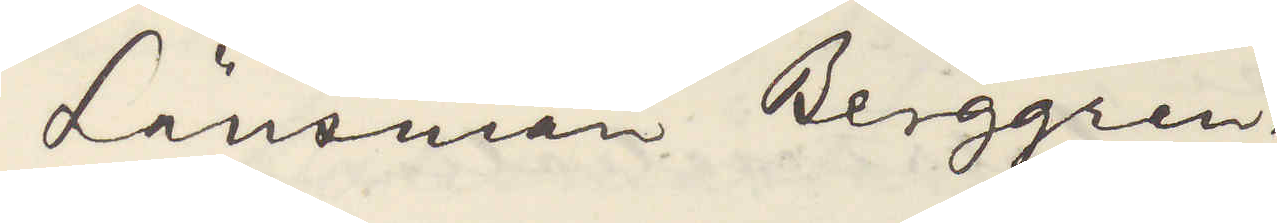Länsman Berggren
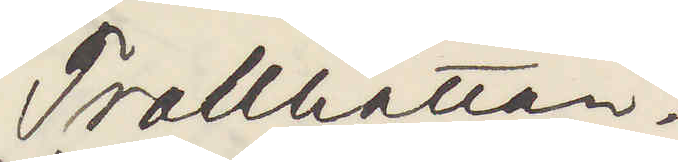Trollhättan.
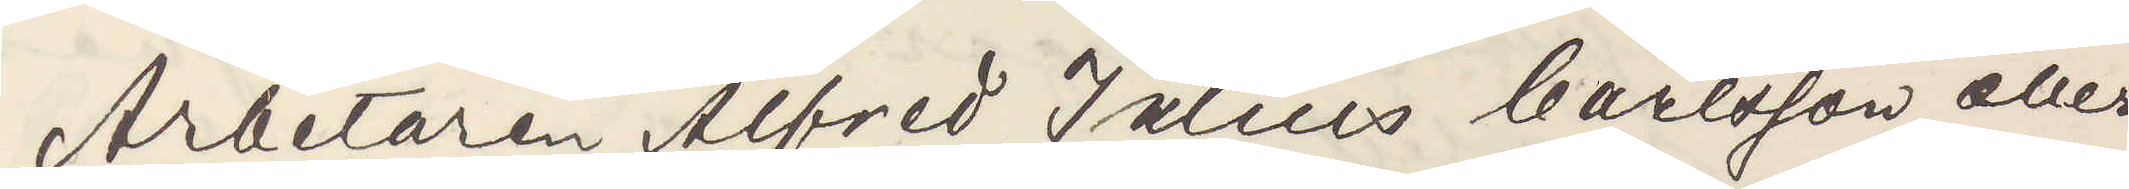Arbetaren Alfred Julius Carlsson eller
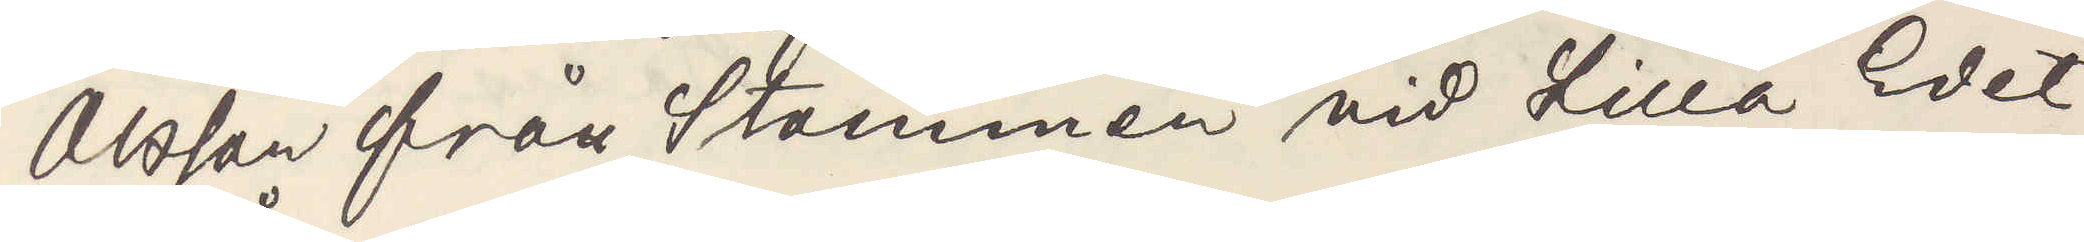Olsson från Stommen vid Lilla Edet
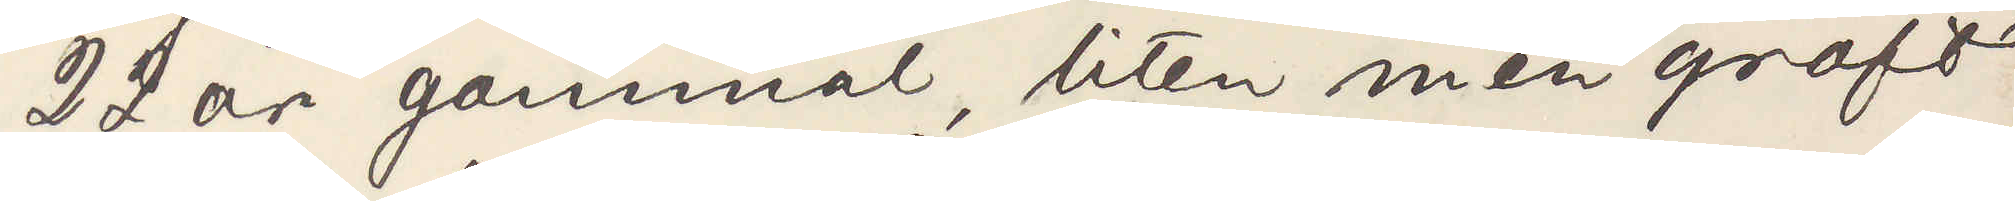22 år gammal, liten men groft
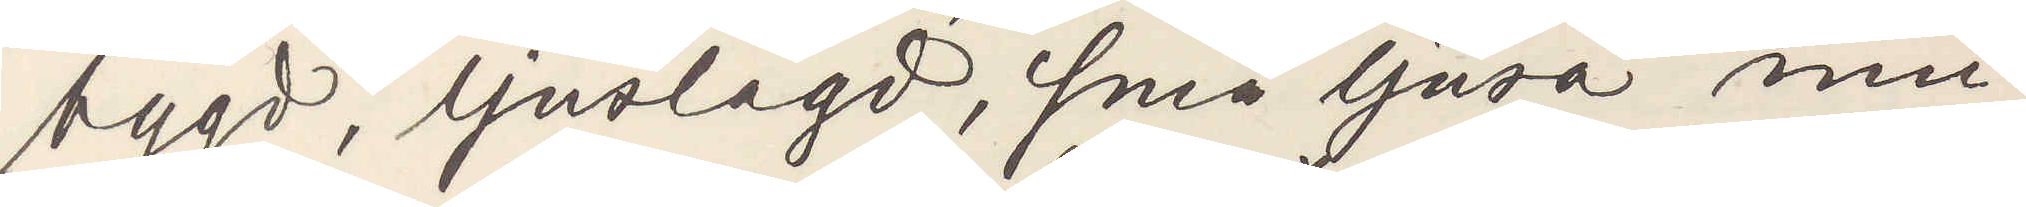bygd, ljuslagd, små ljusa mu¬
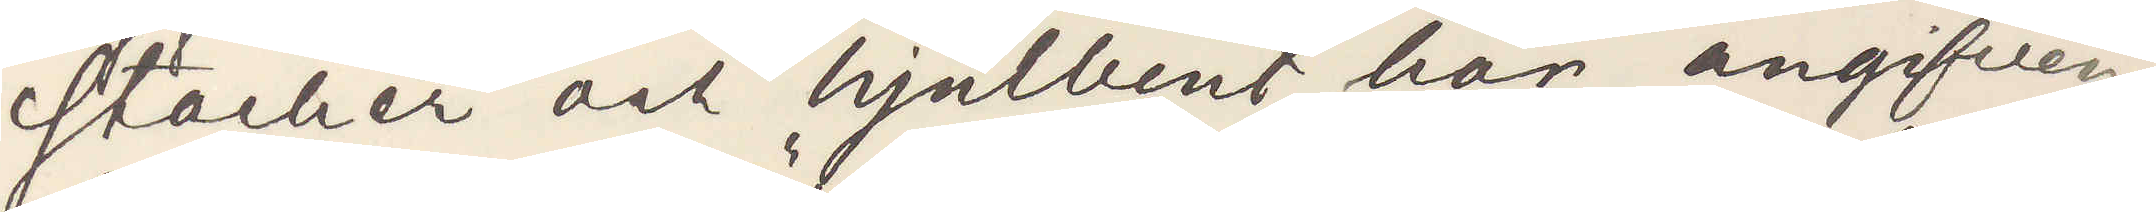stacher och hjulbent, här angifven
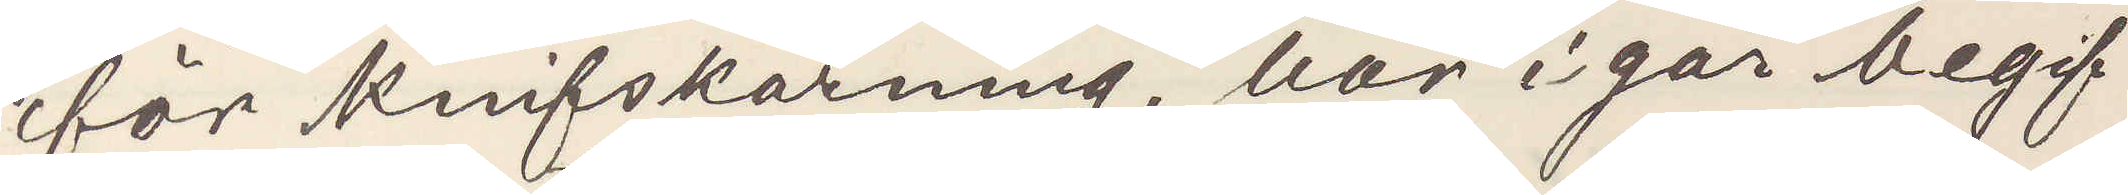för knifskärning, har igår begif¬
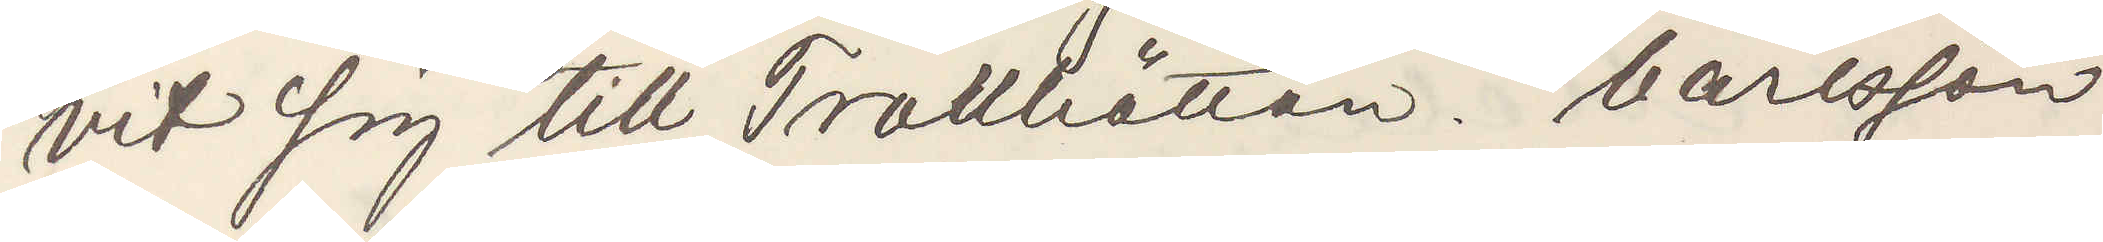vit sig till Trollhättan. Carlsson
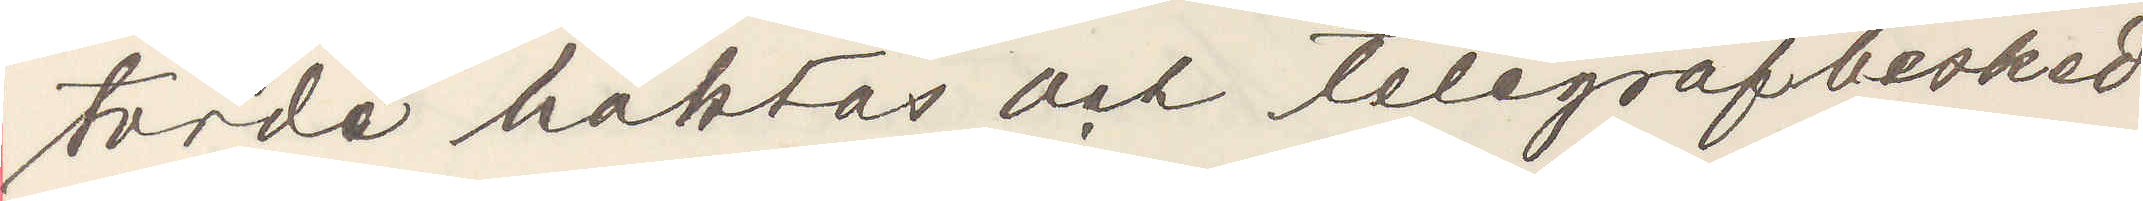torde häktas och telegrafbesked
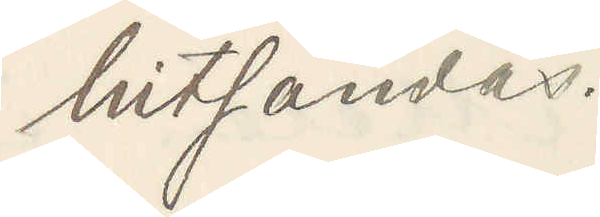hitsändas.
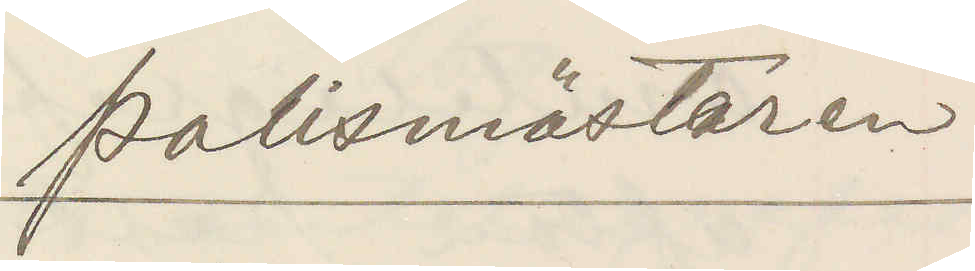Polismästaren.
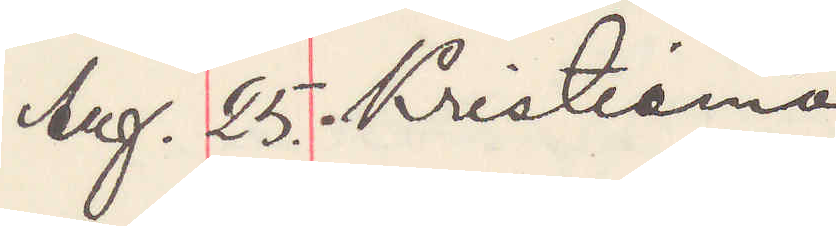Aug. 25. Kristiania
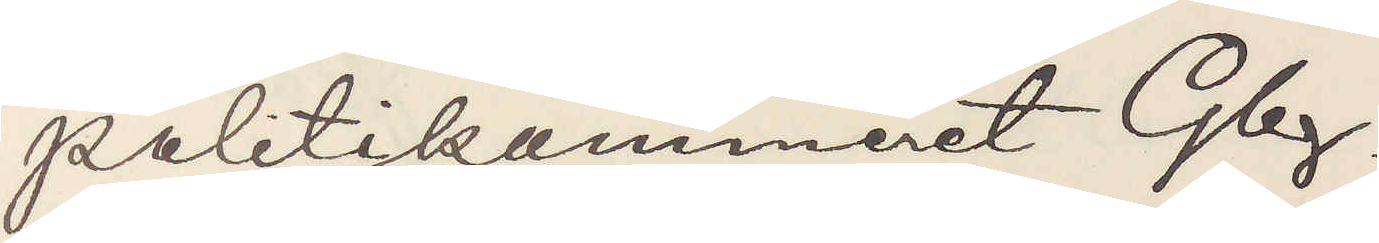Politikammeret Gbg.
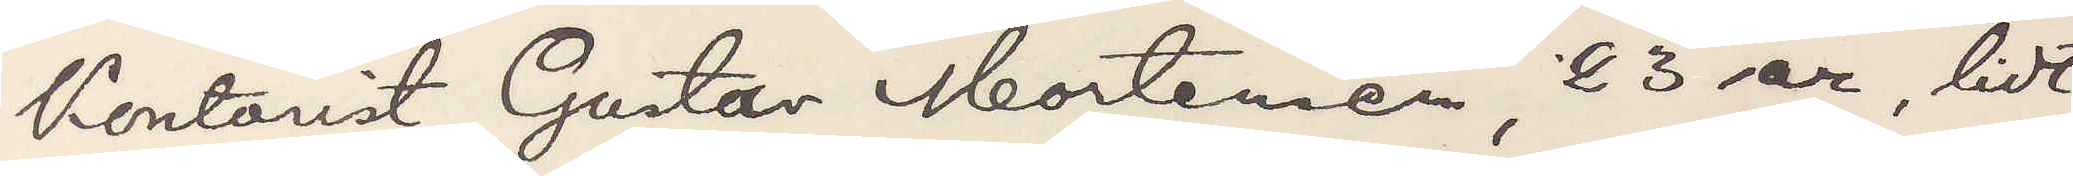Kontorist Gustaf Mortimer, 23 ar, lidt
